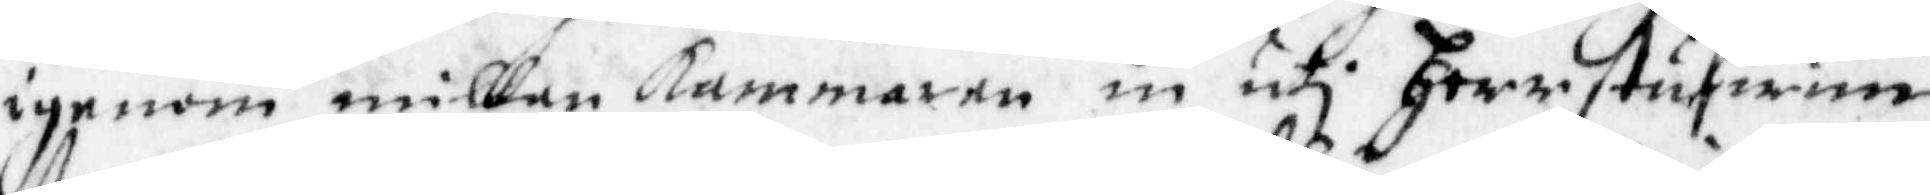igenom millan kammaren in uti Herrstufwun,
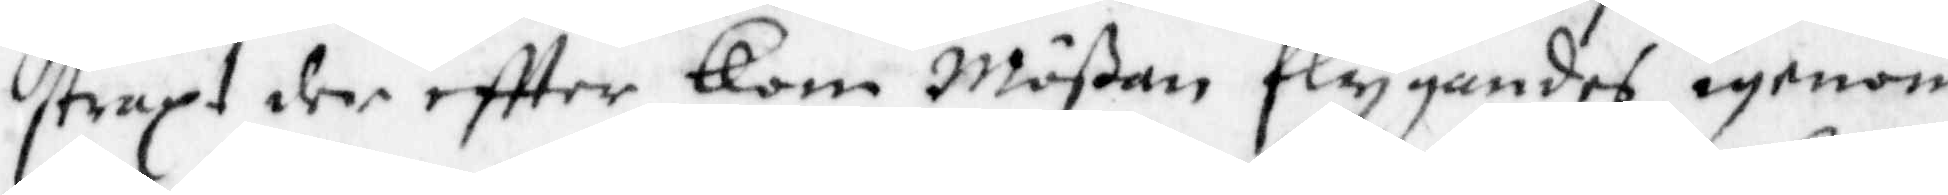straxt der effter kom Mößan flygandes igenom
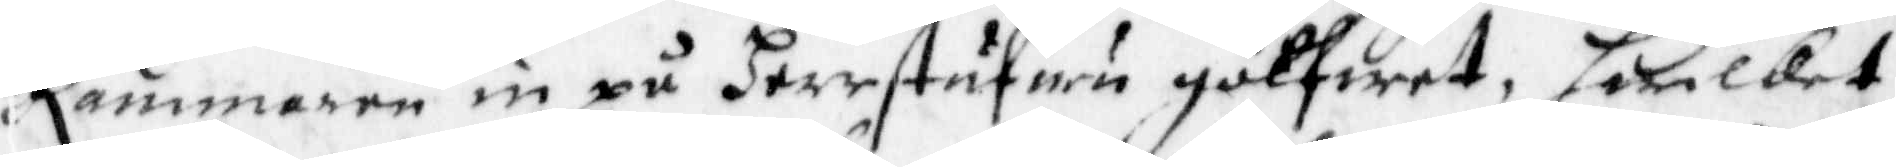kammaren in på Herrstufwu golfwet, hwilket
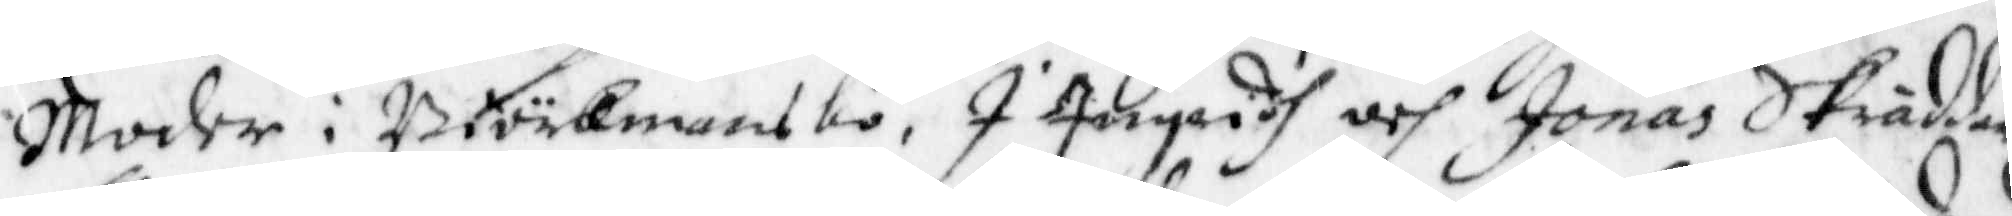Moder i Biörkmansbo, I Ingridh och Jonas Skräddar
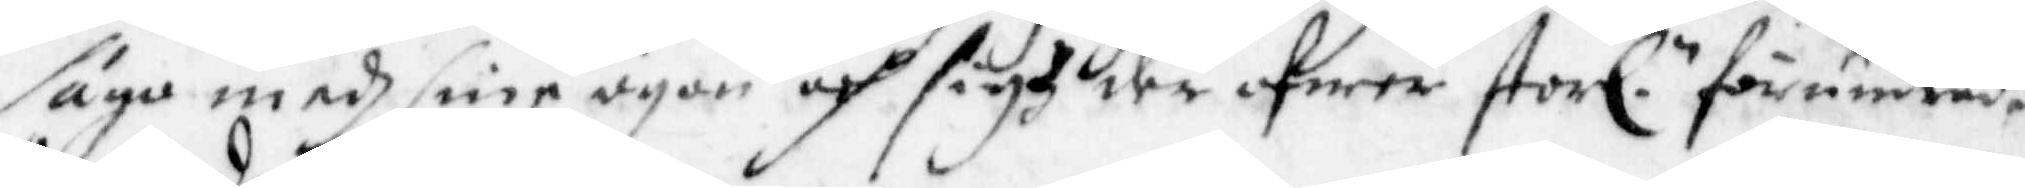sågo medh sine ögon och sigh der öfwer storl: förundrade.
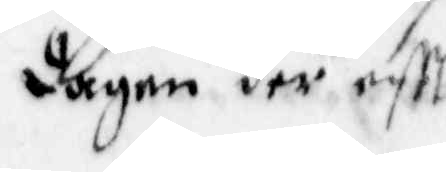dagen der eftt
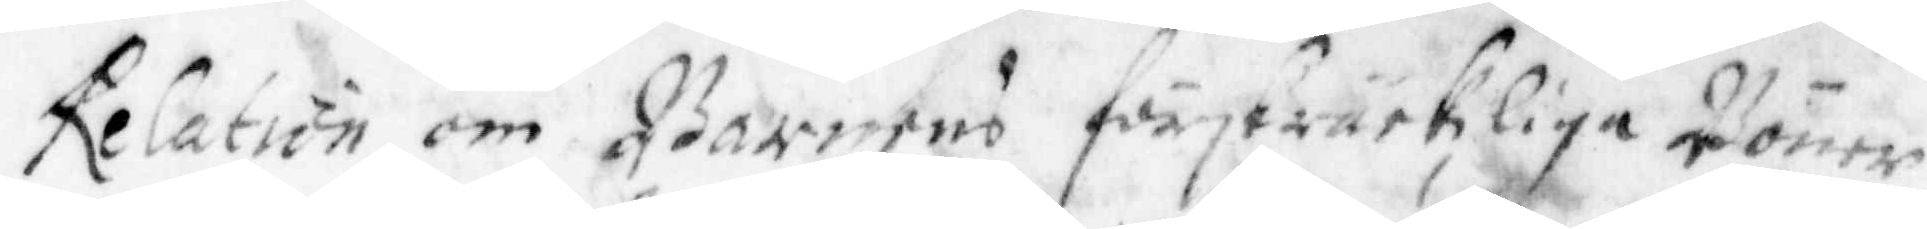Relation om Barnens förskräckliga Böner
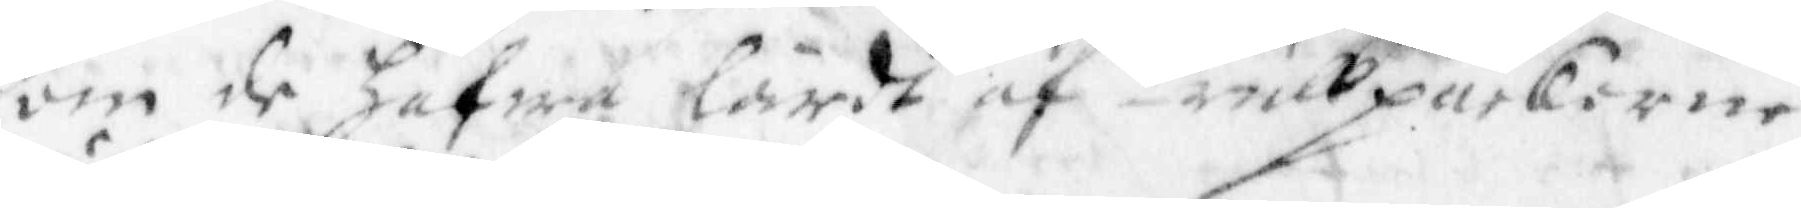som de hafwa lärdt af trullpackorne
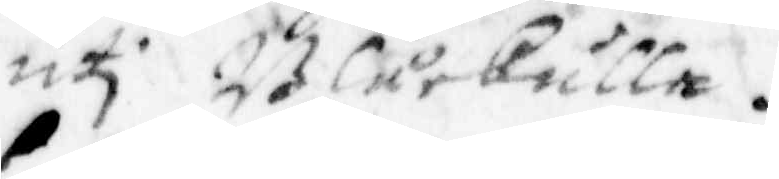uti Blåkulla.
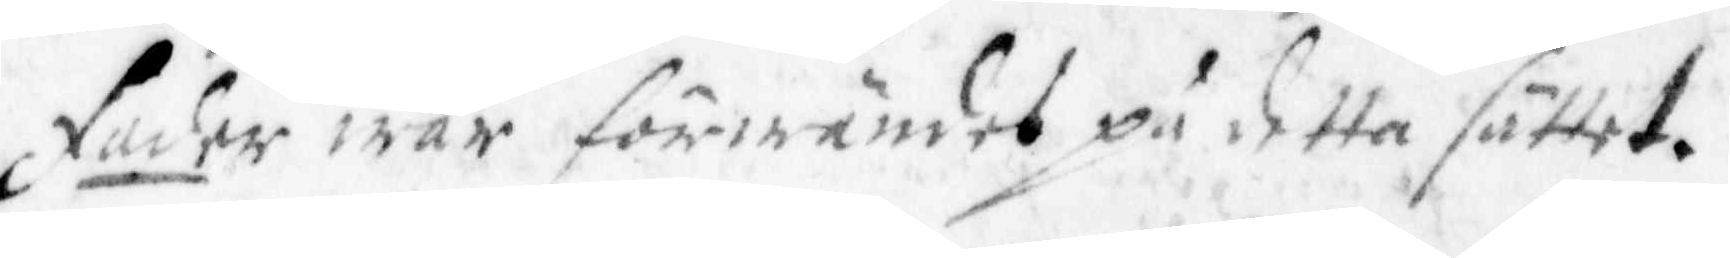Fader wår förwändes på detta sättet.
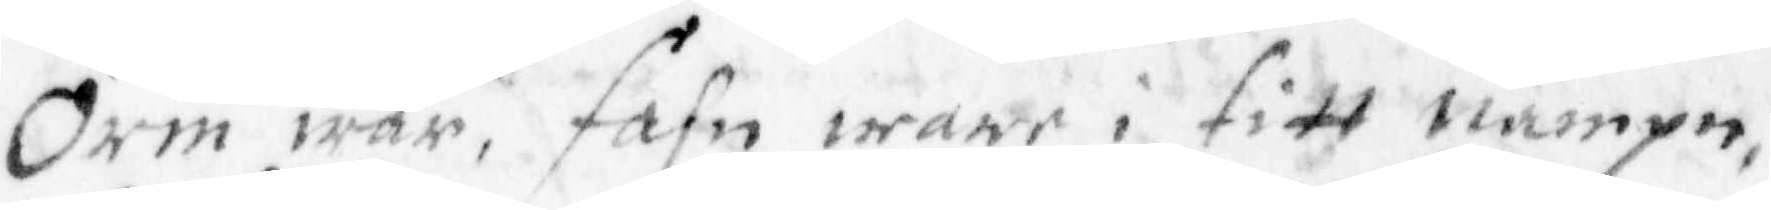Orm wår, fahn ware i sitt nampn,
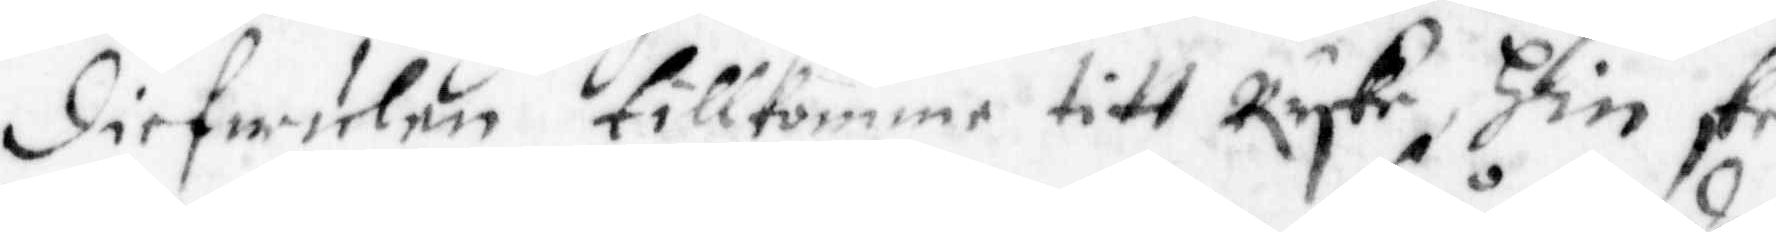diefwulen tillkomme titt Ryke, Hin skee
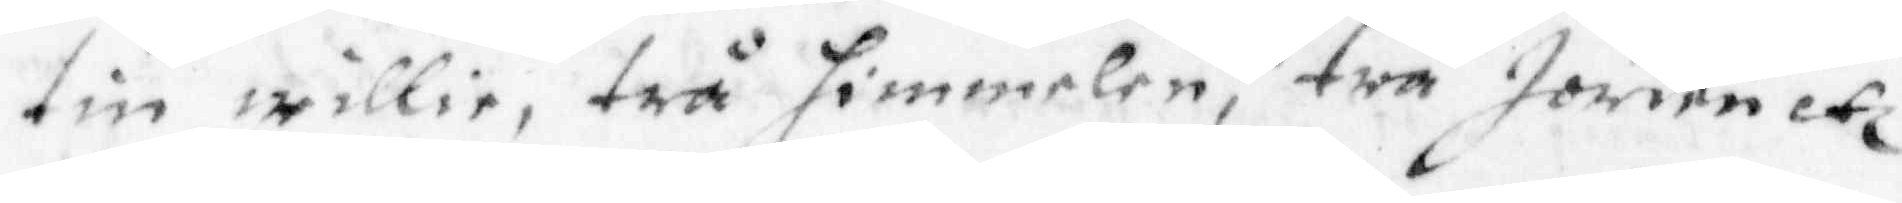tin willie, trå himmelen, trå Jorden etc
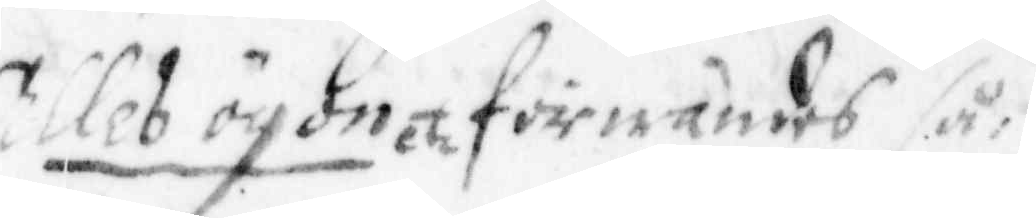Alles ögon etc förwändes så:
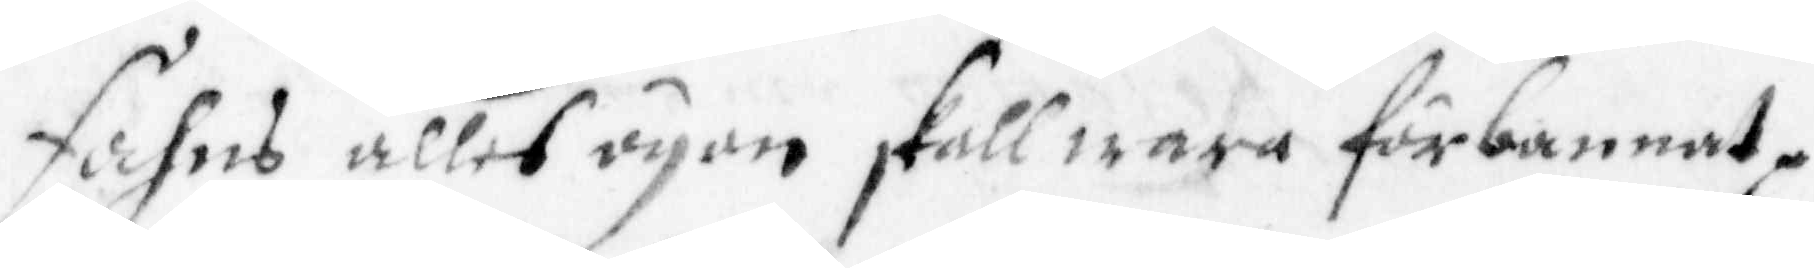Fahns alles ögon skall wara förbannat,
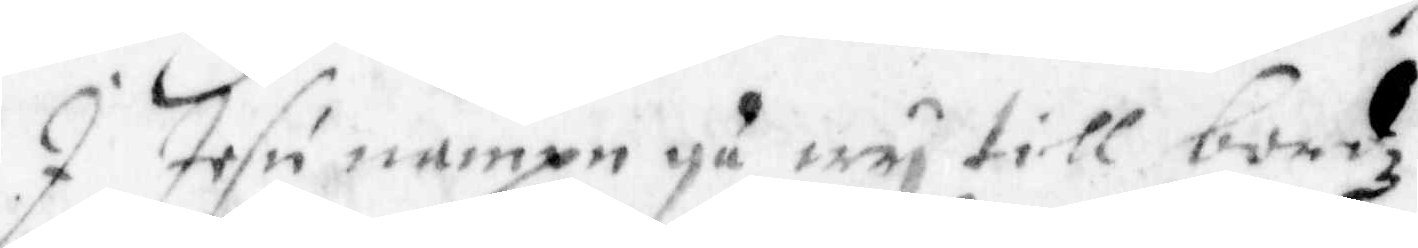I Jesu nampn gå wy till bordz
